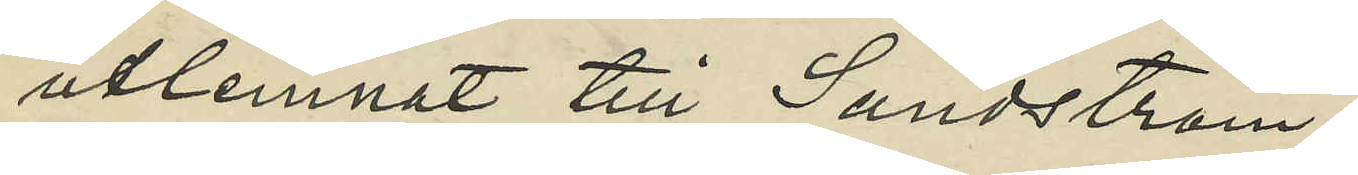utlemnat till Sundström.
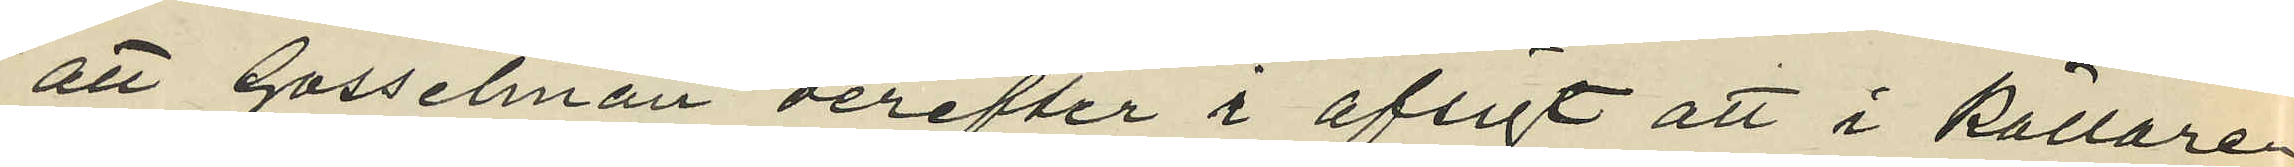att Gosselman derefter i afsigt att i källare
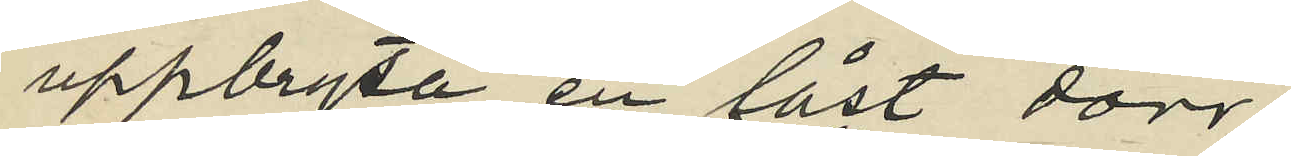uppbryta en låst dörr
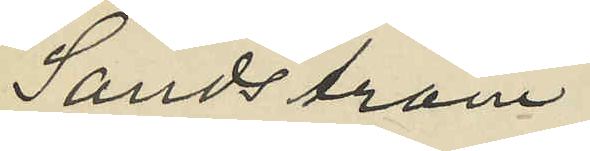Sandström
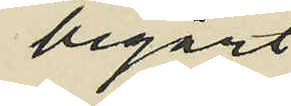begärt
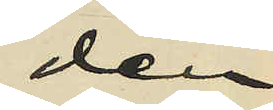den
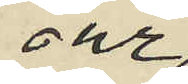ur
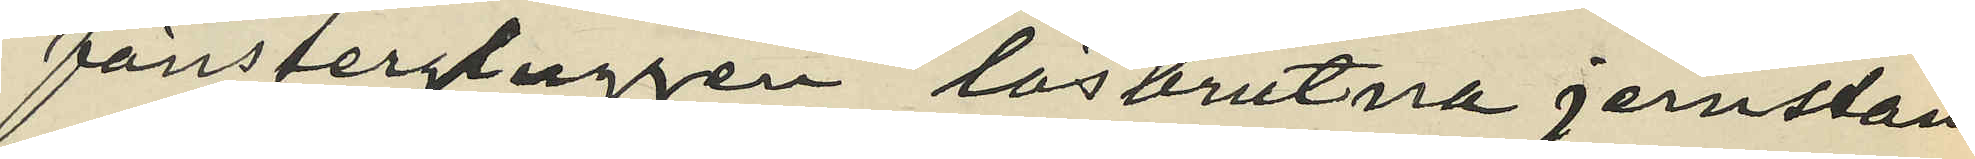fönstergluggen lösbrutna jernstån¬
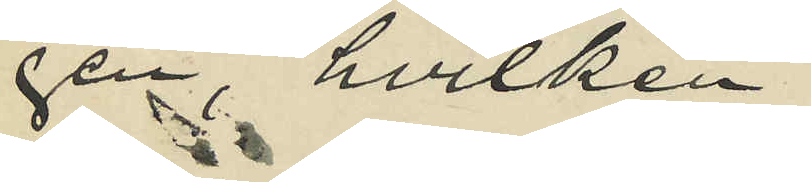gen, hvilken
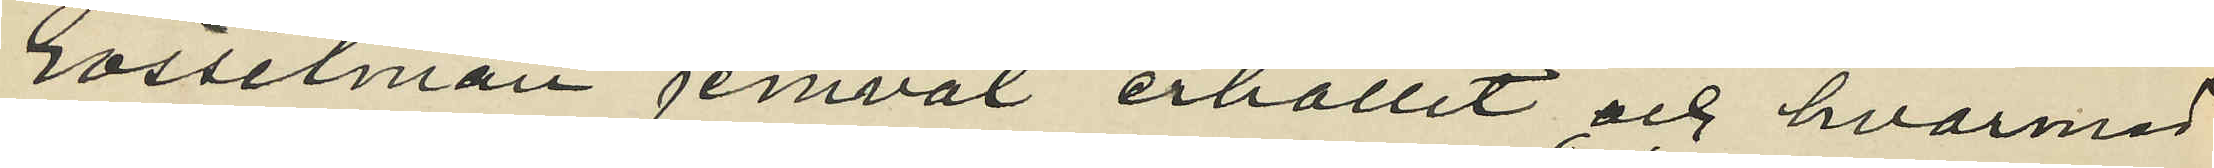Gosselman jemväl erhållit och hvarmed
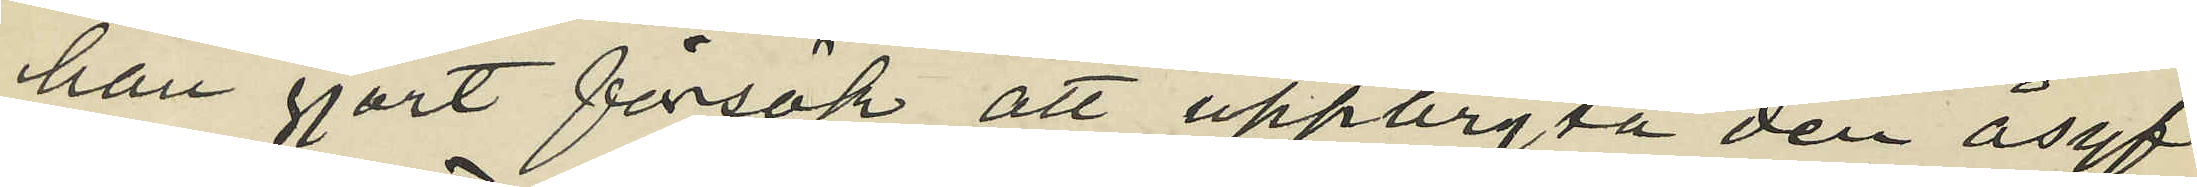han gjort försök att uppbryta den åsyf¬
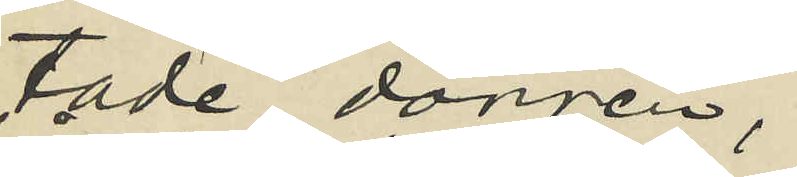tade dörrren;
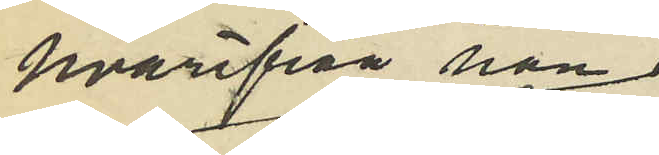hvarifrån han
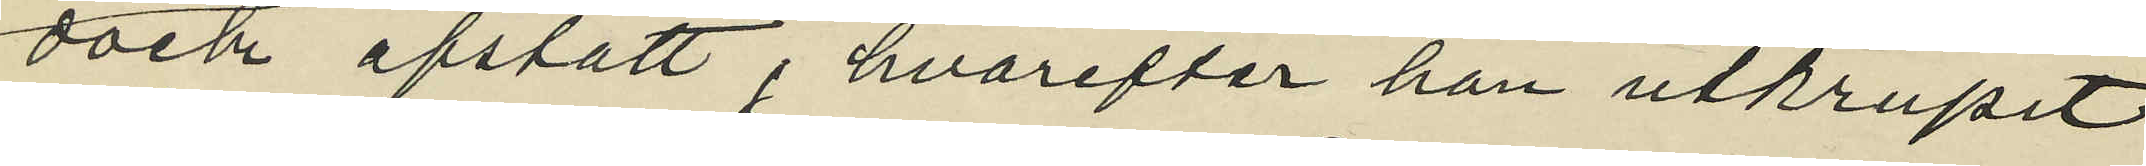dock afstått, hvarefter han utkrupit
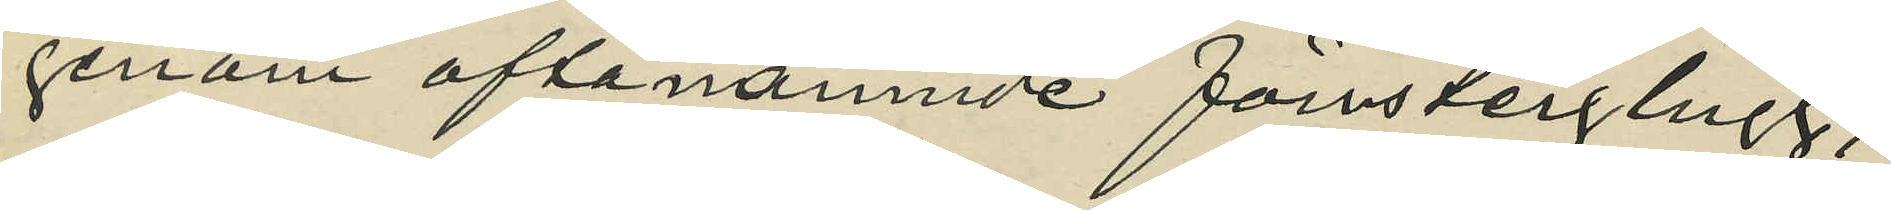genom oftanämnde förnsterglugg,
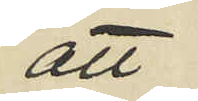att
